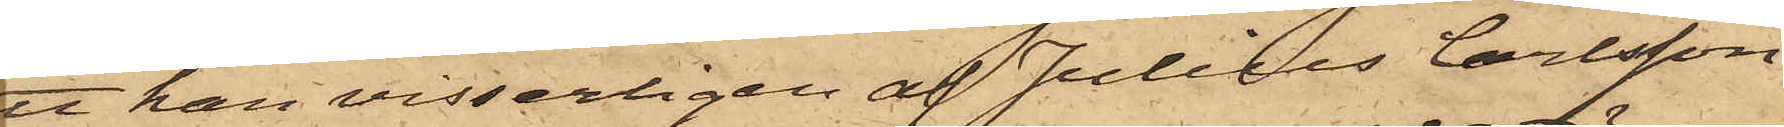att han visserligen af Julius Carlsson
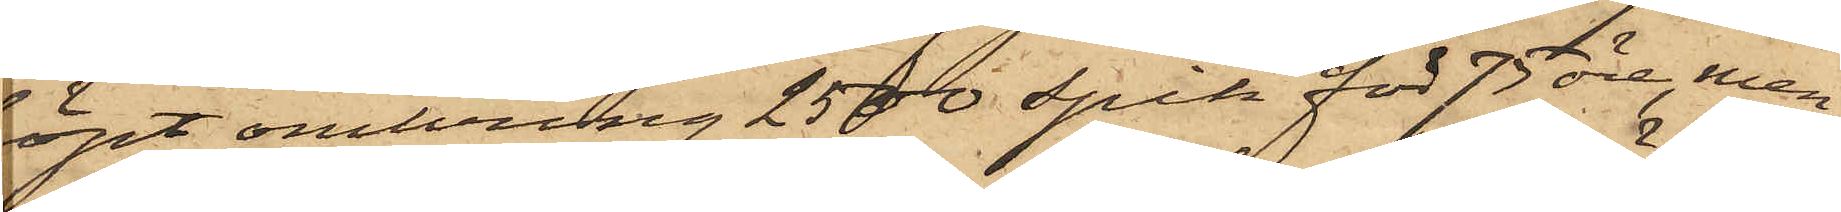köpt omkring 2500 spik för 75 öre, men
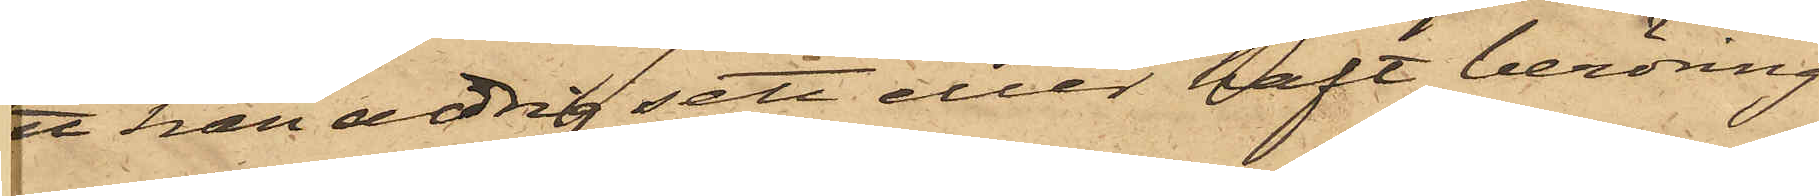att han aldrig sett eller haft beröring
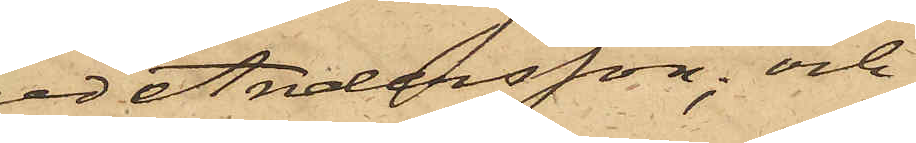med Andersson; och
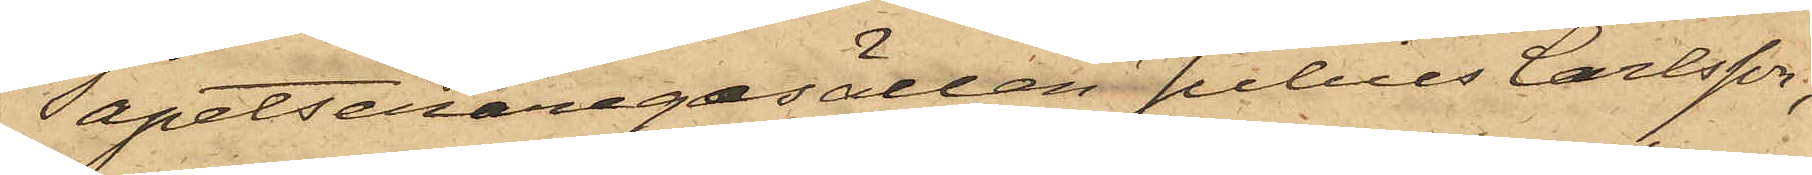6oTapetseraregesällen Julius Carlsson,
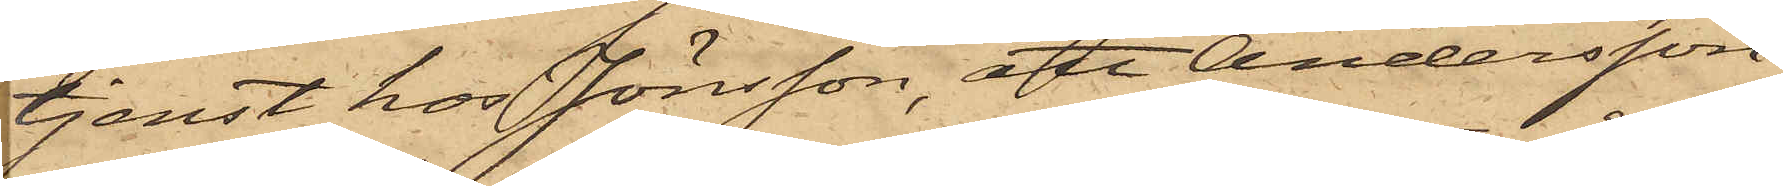i tjenst hos Jönsson, att Andersson
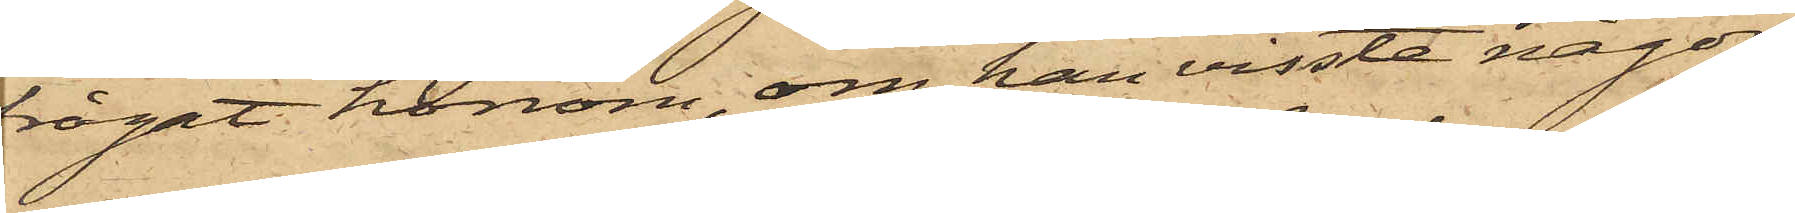frågat honom, om han visste någon
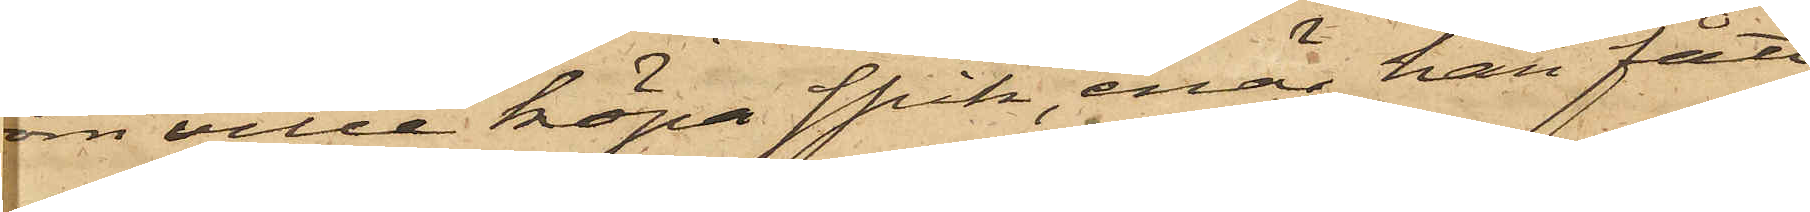som ville köpa spik, enär han fått
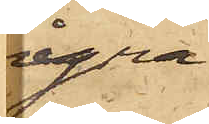ågra
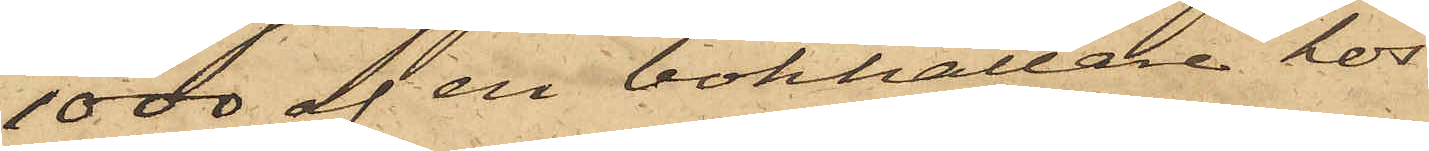1000 af en bokhållare hos
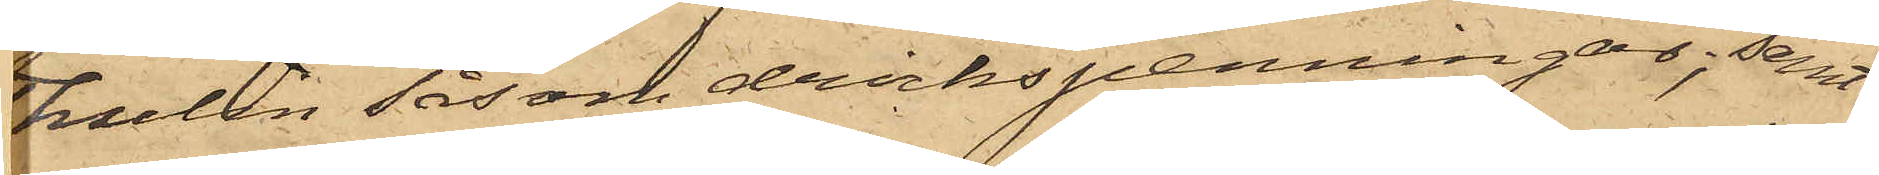Thulin såsom drickspenningar; samt
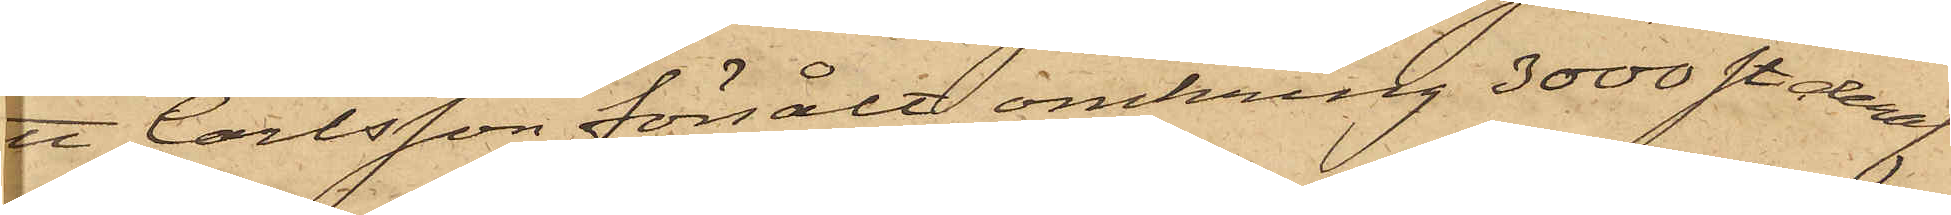att Carlsson försålt omkring 3000 st. deraf
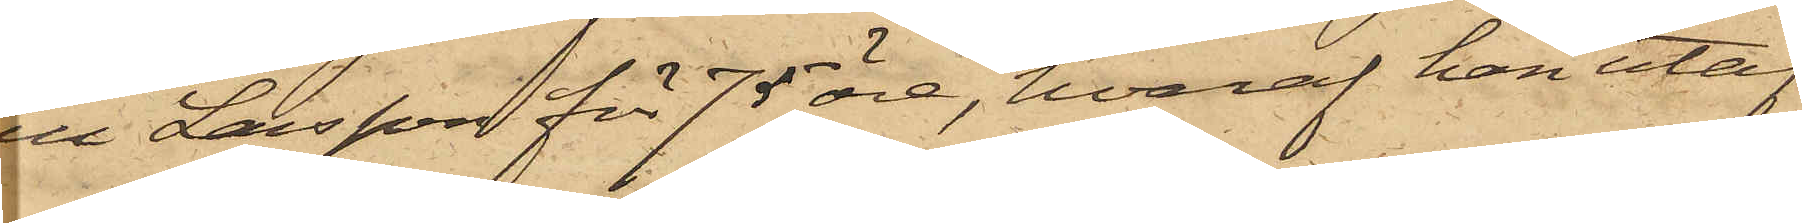till Larsson för 75 öre, hvaraf han utaf
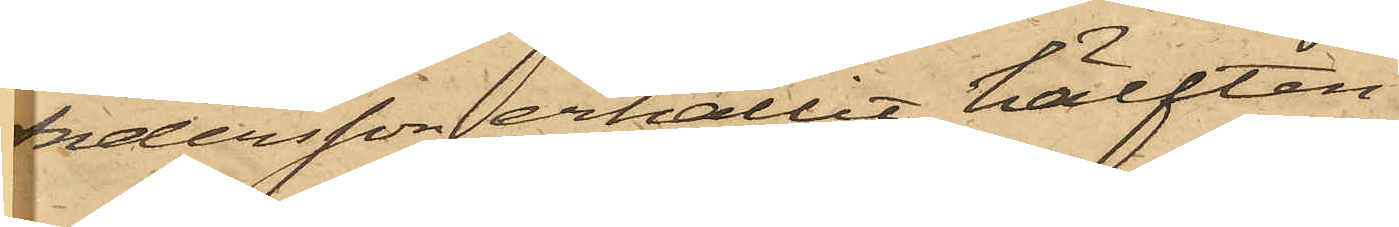Andersson erhållit hälften.
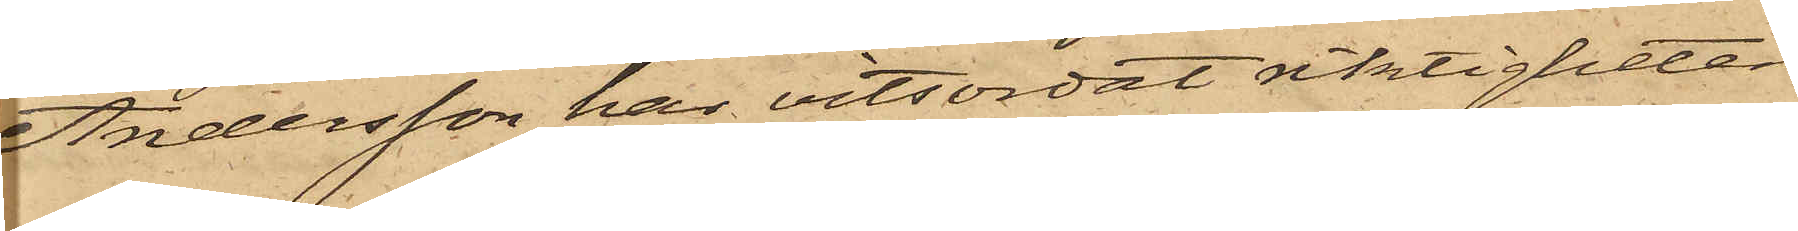Andersson har vitsordat riktigheten
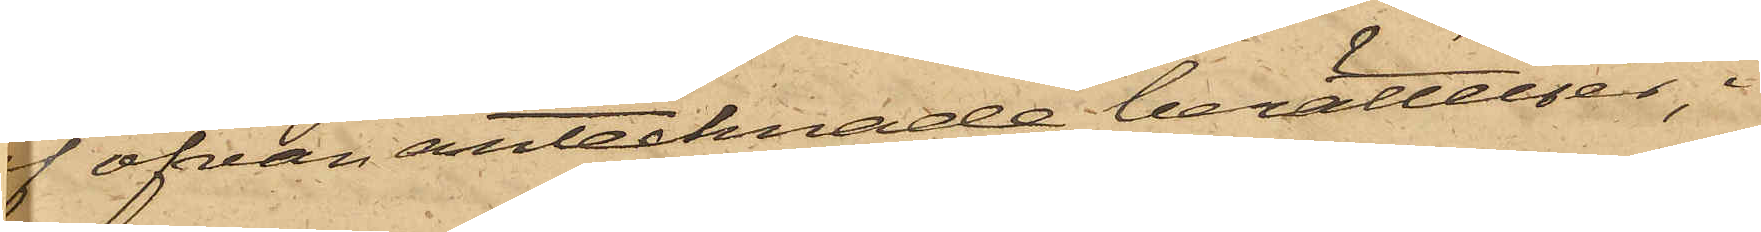af ofvan antecknade berättelser, i
